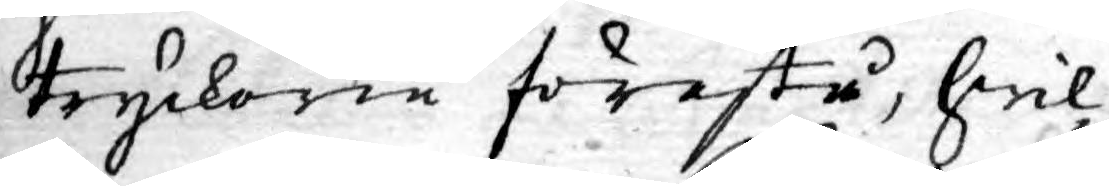tryckerie förestå, hwil¬
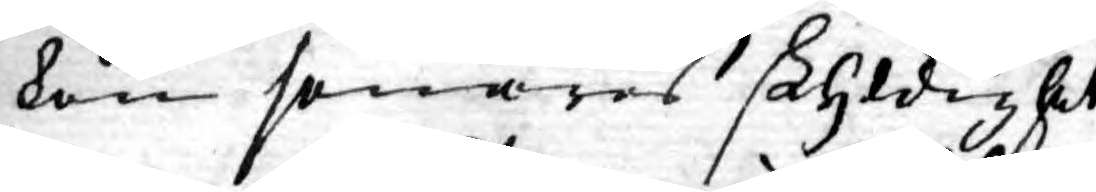ken senares skyldighet
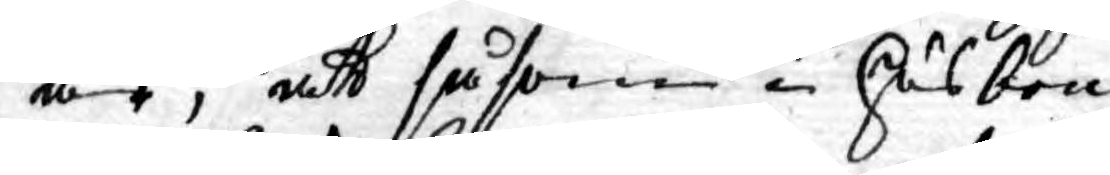är, att såsom i husbon¬
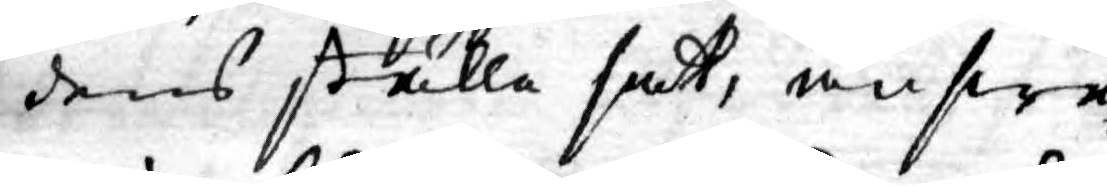dens ställe satt, answa¬
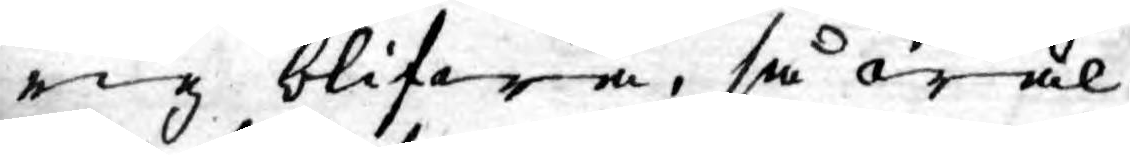rig blifwa, så wäl
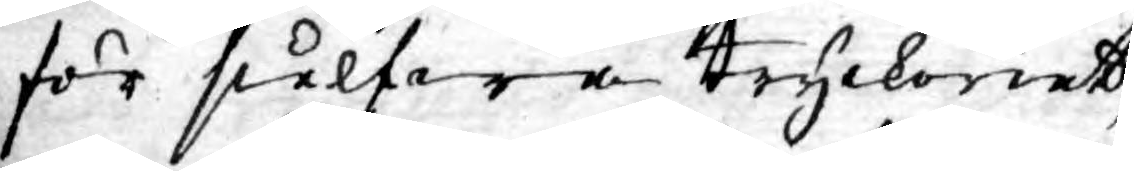för sielfwa tryckeriet,
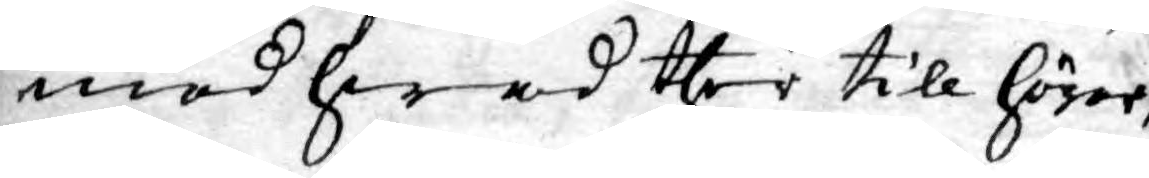med hwad ther till hörer,
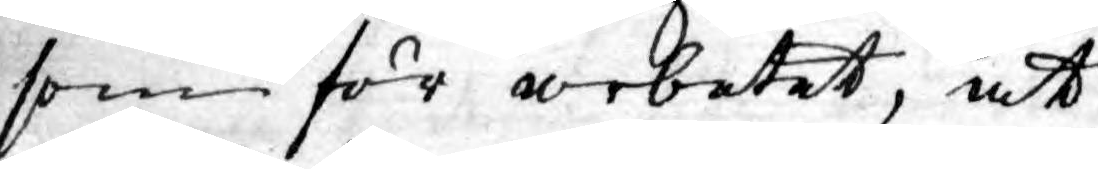som för arbetet, att
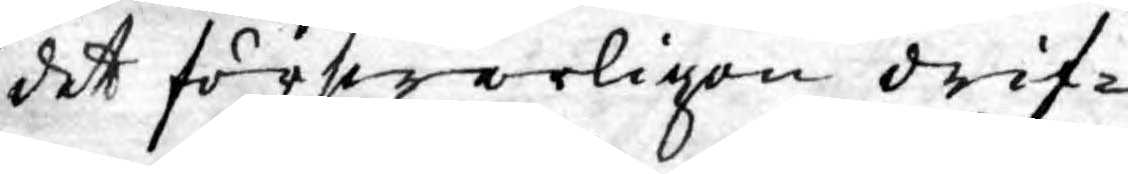det förswarligen drif¬
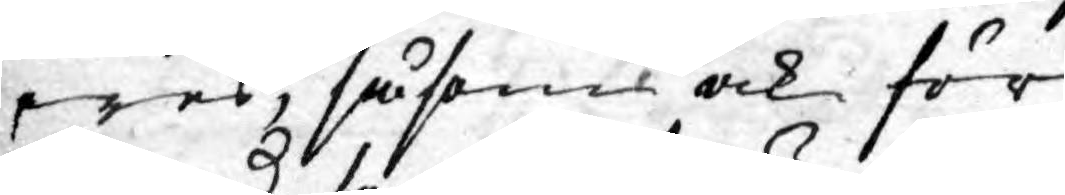wes, såsom ock för
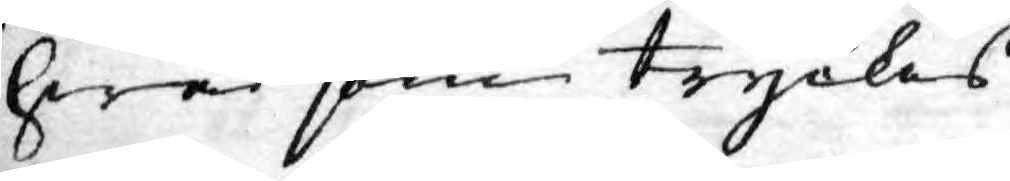hwad som tryckes.
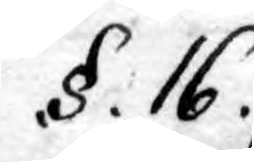.§.16.
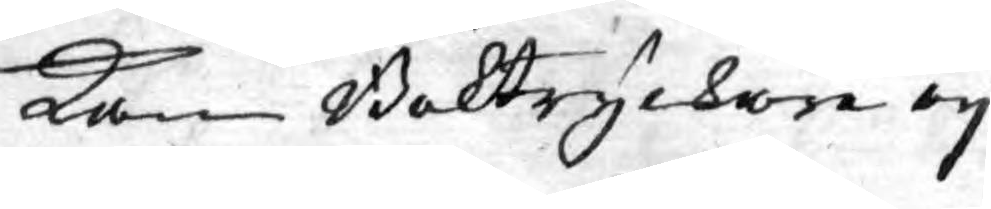Kan Boktryckare ey
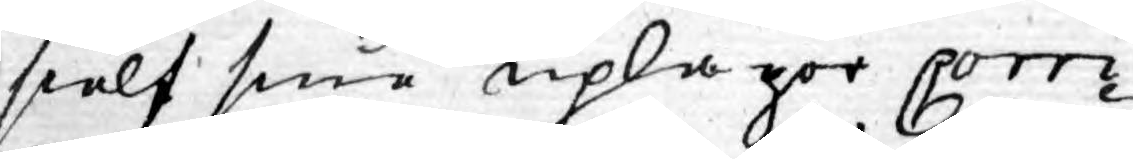sielf sine uplagor corri¬
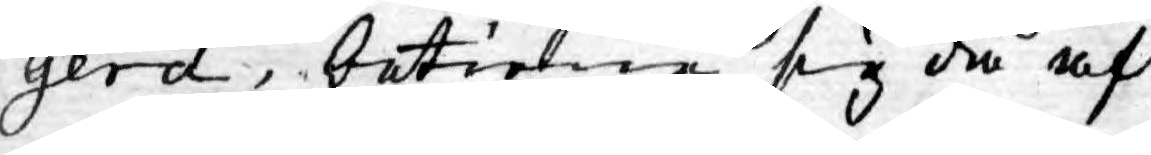gera, betiene sig då af
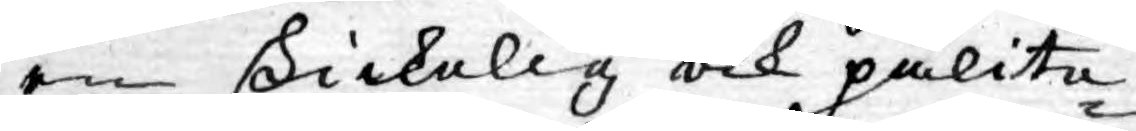en skickelig och pålite¬
